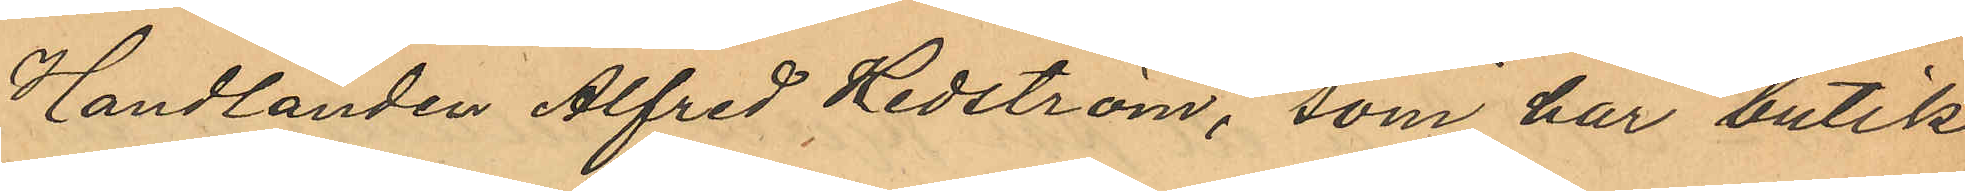Handlanden Alfred Hedström, som har butik
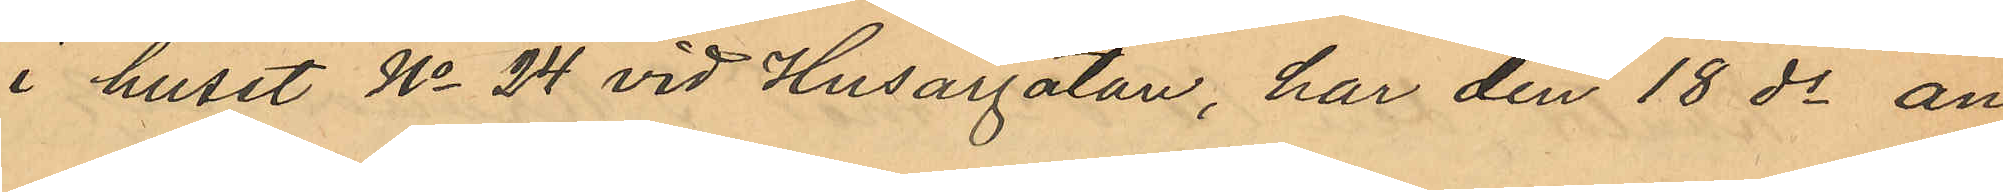i huset No 24 vid Husargatan, har den 18 ds an¬
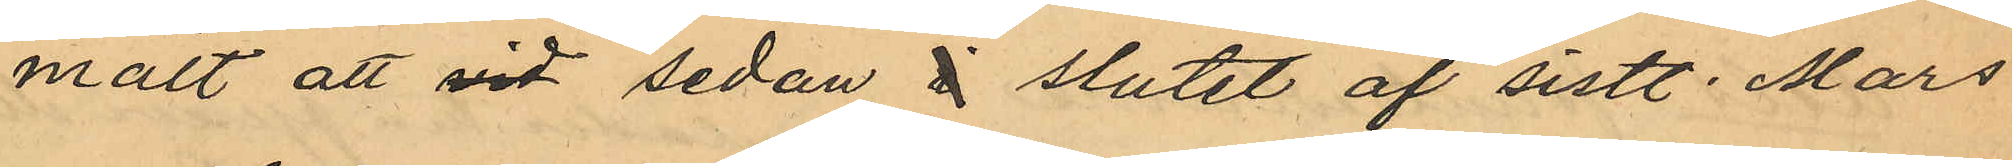mält att vid sedan  i  slutet af sistl Mars
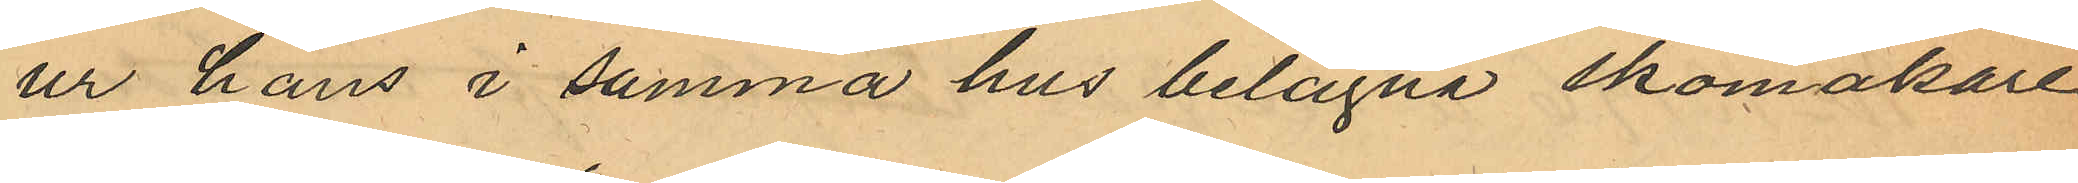ur hans i samma hus belägne skomakare¬
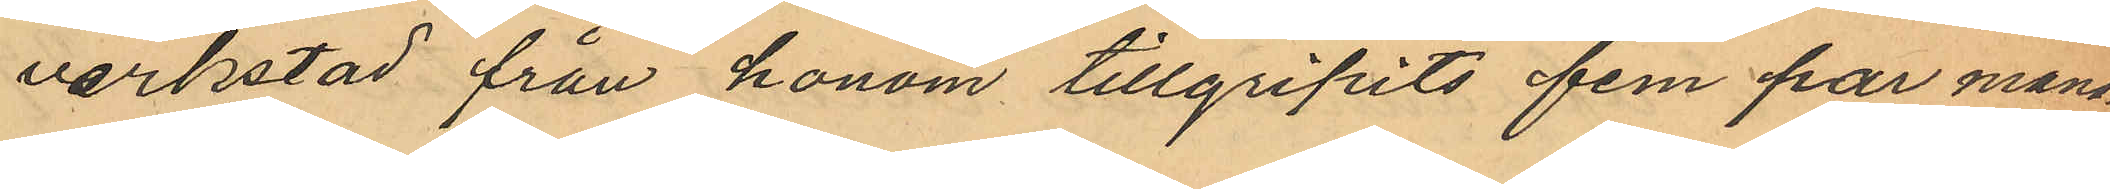verkstad från honom tillgripits fem par mans¬
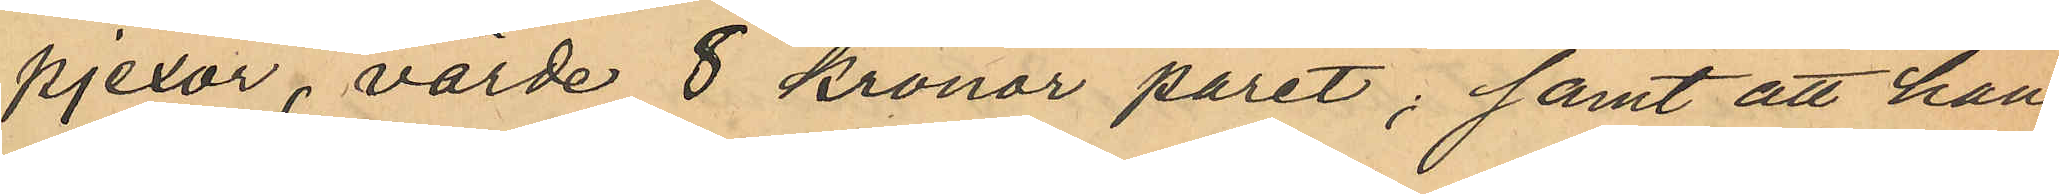pjexor, värde 8 Kronor paret; samt att han
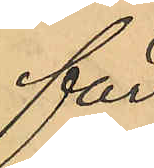 för 
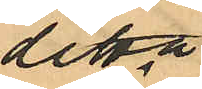detta
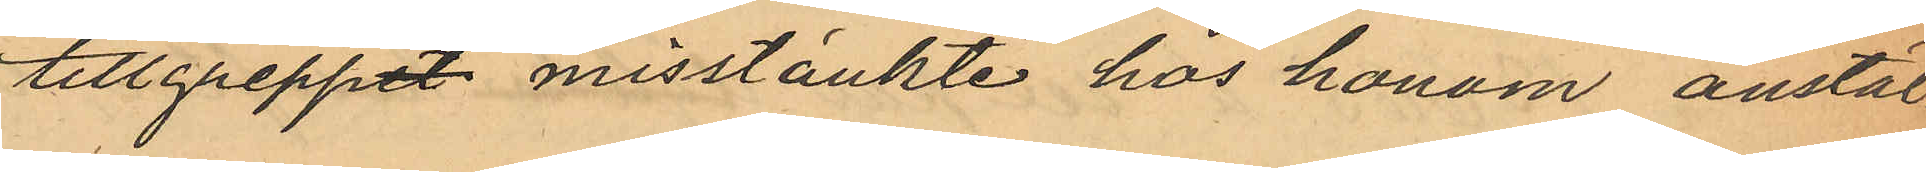tillgreppet misstänkte hos honom anstäl¬
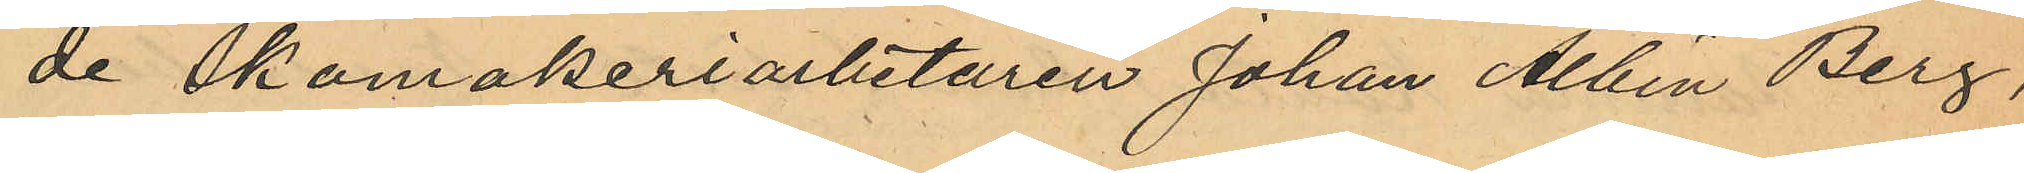de Skomakeriarbetaren Johan Albin Berg,
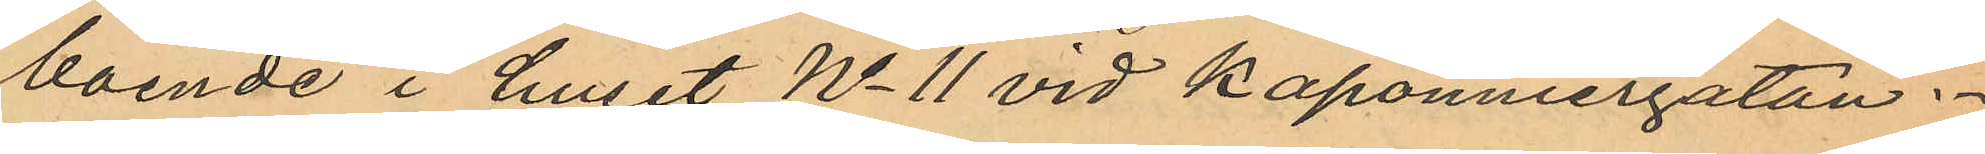boende i huset No 11 vid Kaponniergatan.
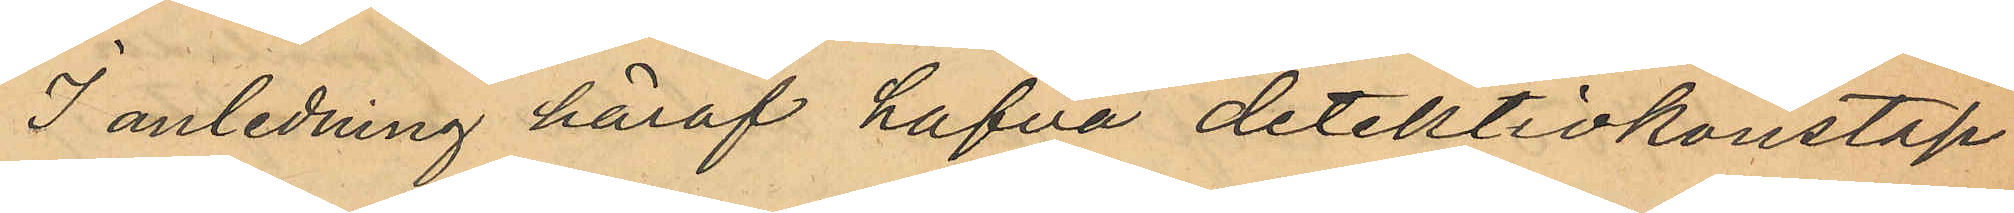I anledning häraf hafva detektivkonstap¬
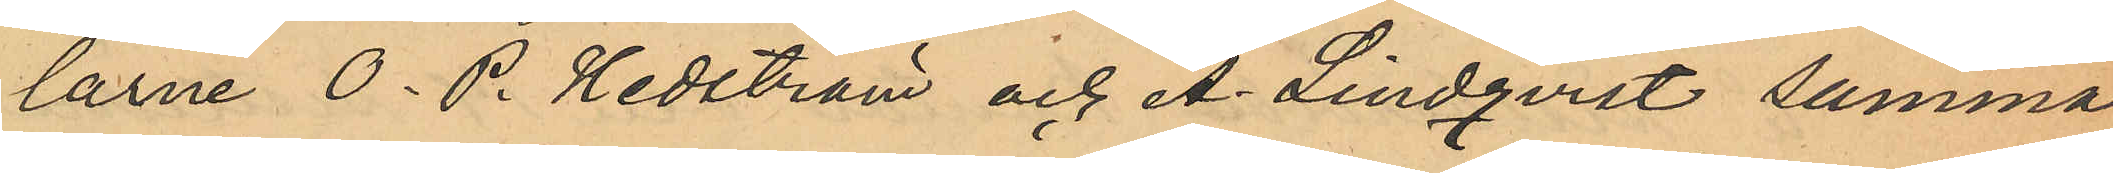larne O. P. Hedström och A. Lindqvist samma
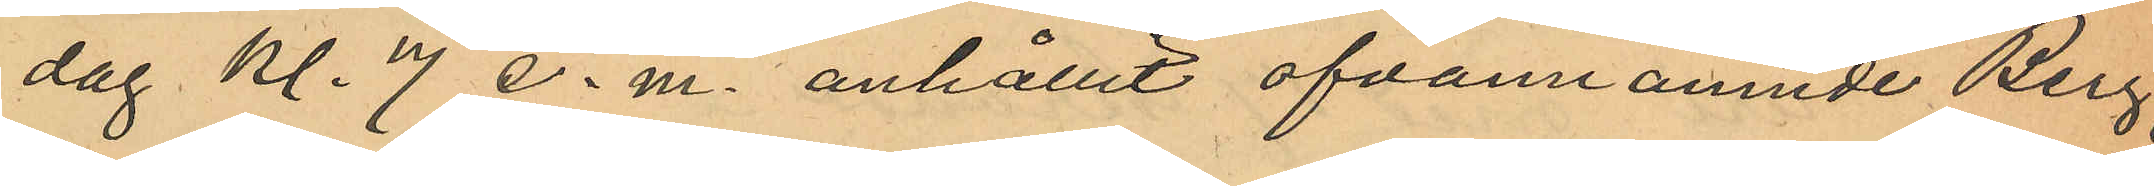dag Kl 7 e.m. anhållit ofvannämnde Berg,
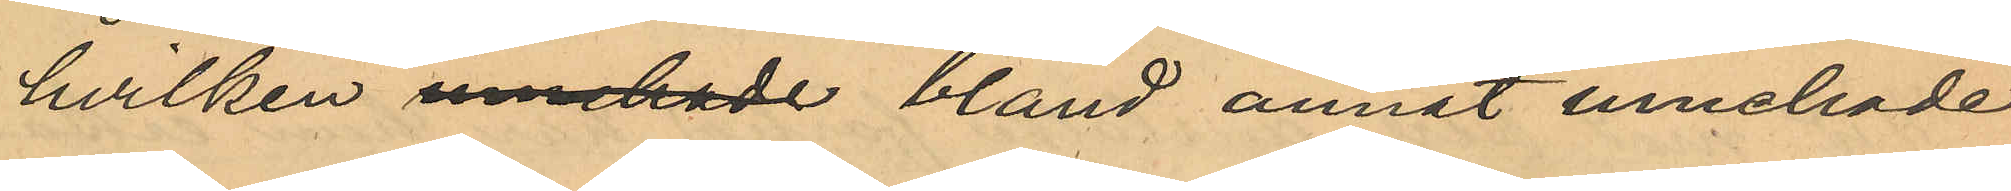hvilken innehade  bland annat innehade
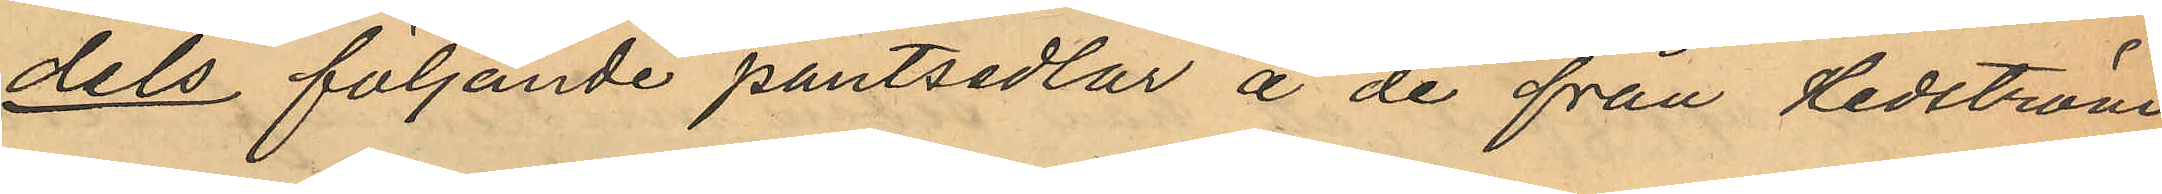dels följande pantsedlar å de från Hedström
